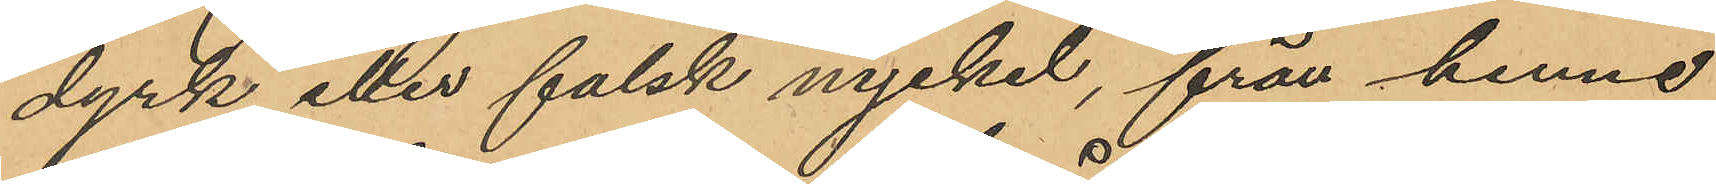dyrk eller falsk nyckel, från henne
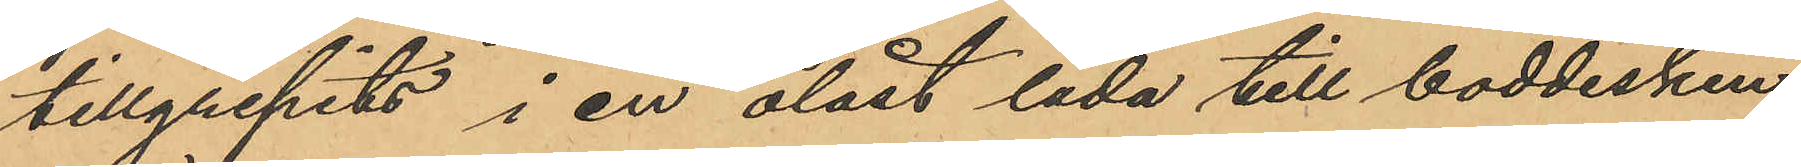tillgripits i en olåst låda till boddisken
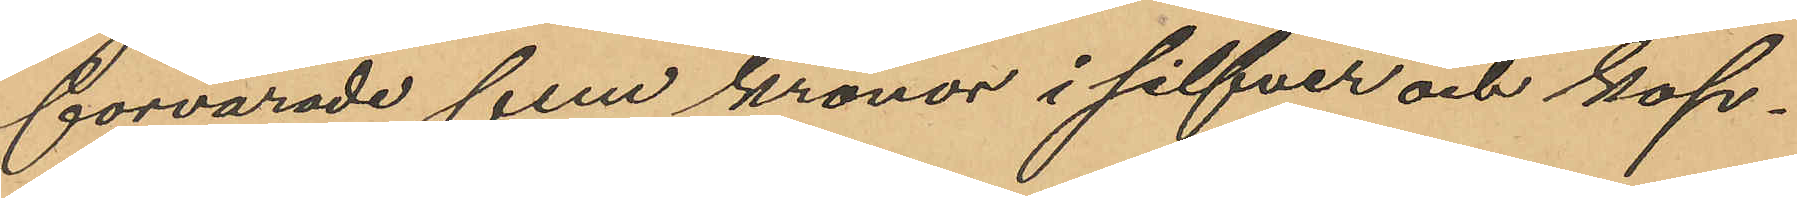förvarade fem kronor i silfver och kop¬
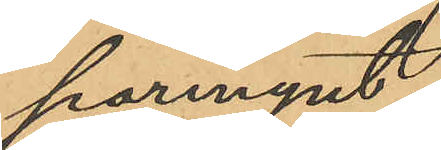parmynt.
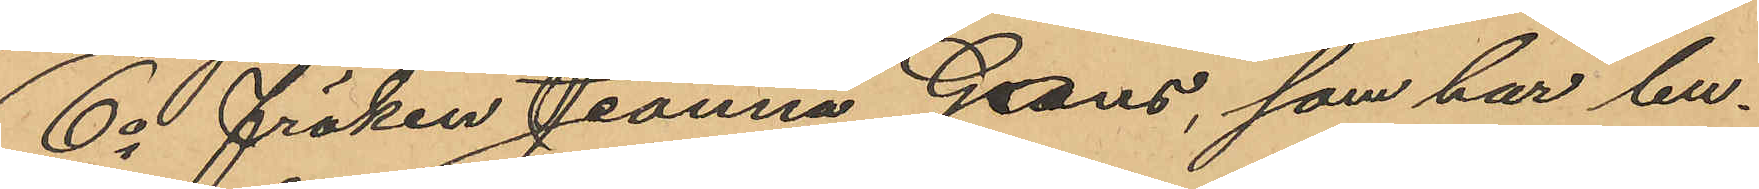6o fröken Jeanna Gans, som har bu¬
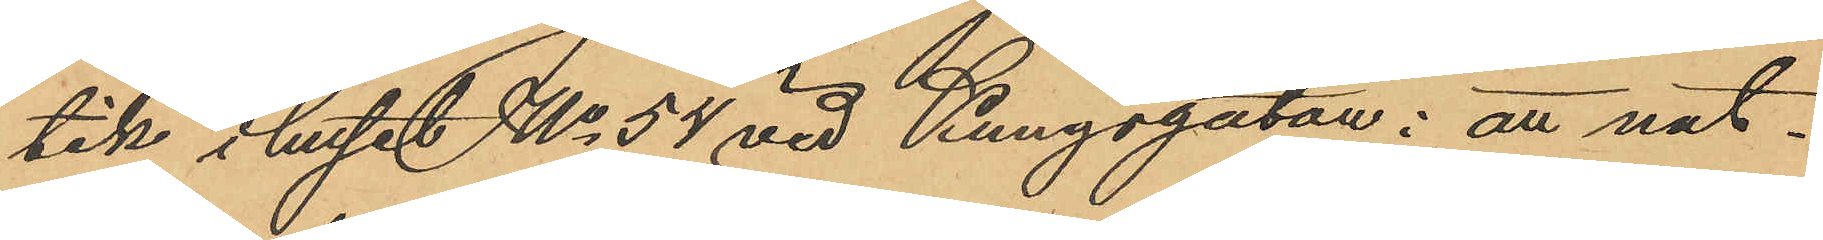tik i huset No 54 vid Kungsgatan: att nat¬
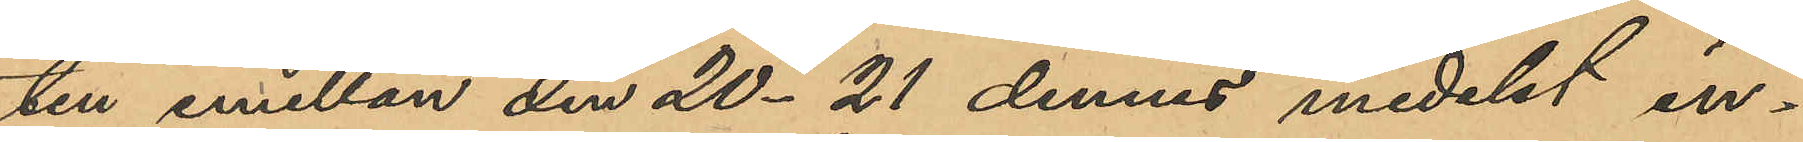ten emellan den 20-21 dennes medelst in¬
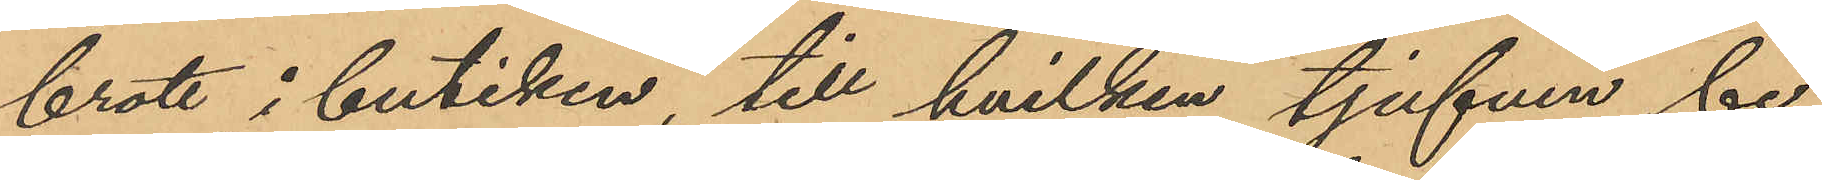brott i butiken, till hvilken tjufven be¬
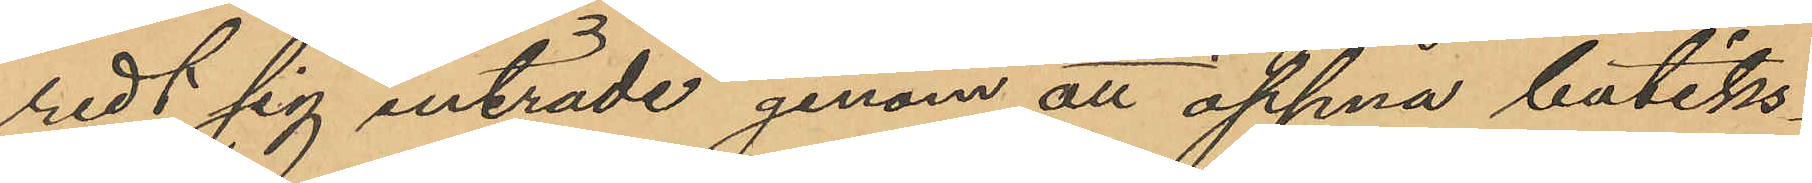redt sig inträde genom att öppna butiks¬
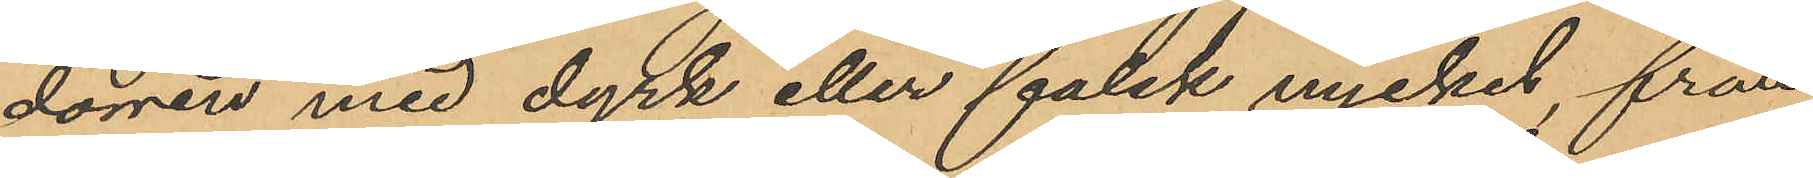dörren med dyrk eller falsk nyckel, från
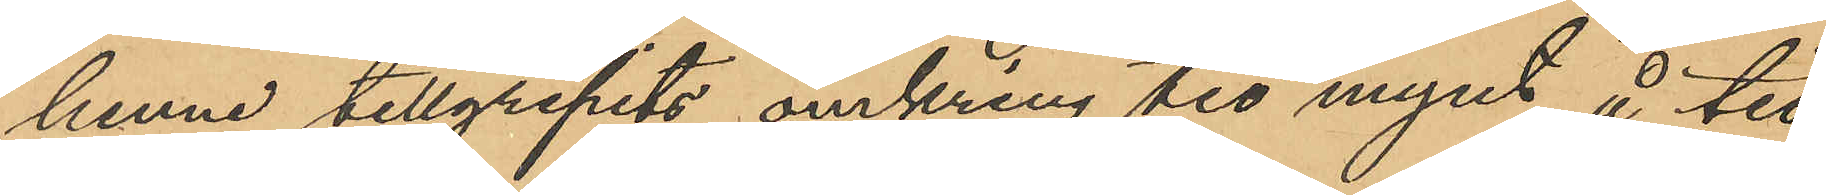henne tillgripits omkring tio mynt å tio
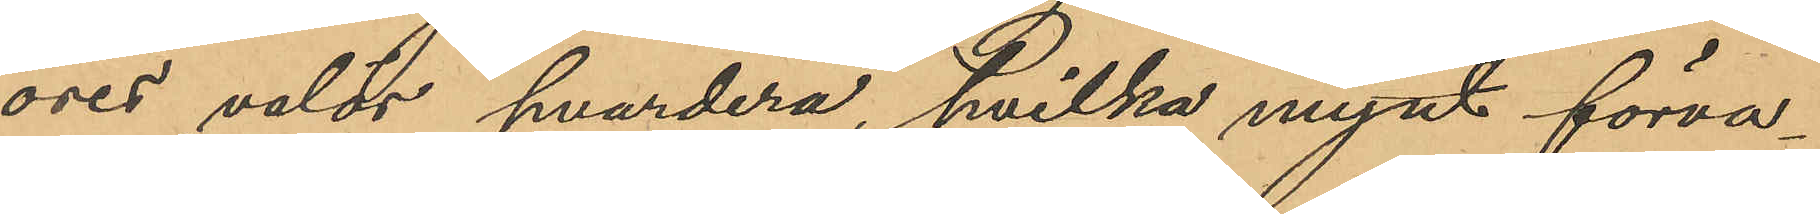öres valör hvardera, hvilka mynt förva¬
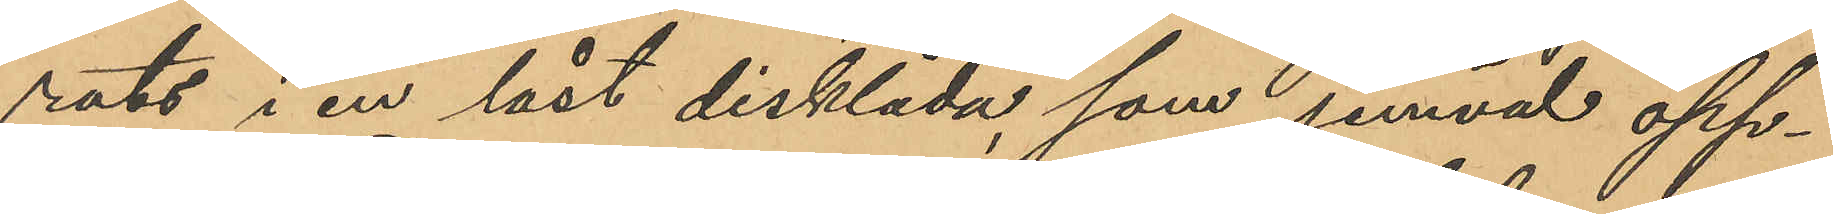rats i en låst disklåda som jemväl öpp¬
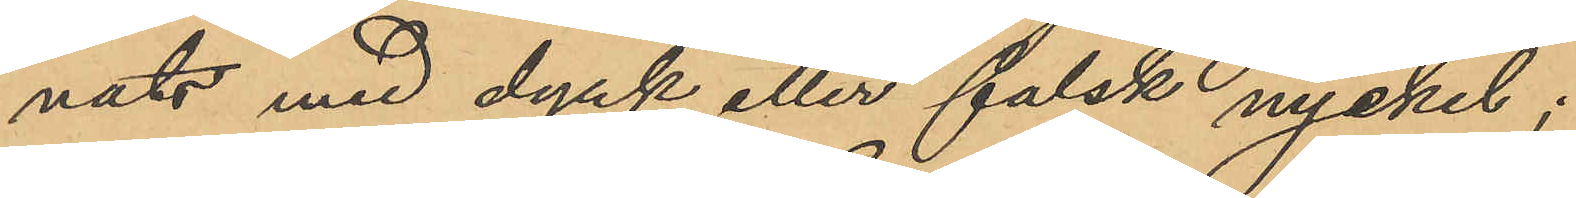nats med dyrk eller falsk nyckel;
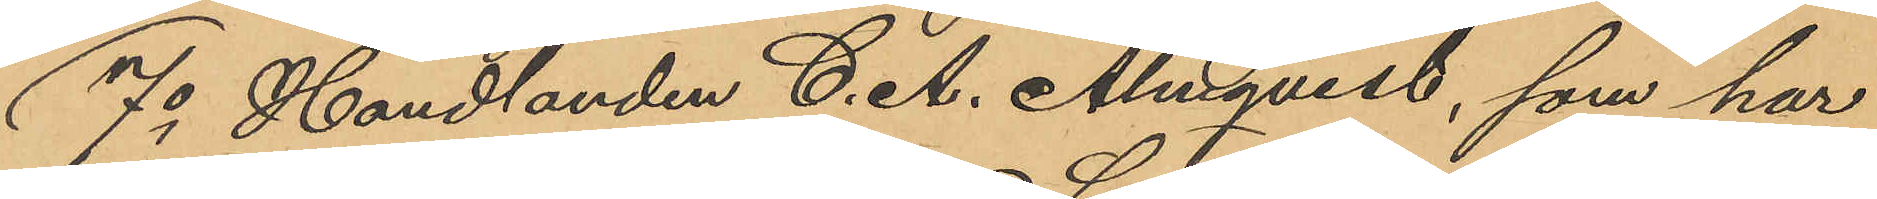7o Handlanden C. A. Almqvist, som har
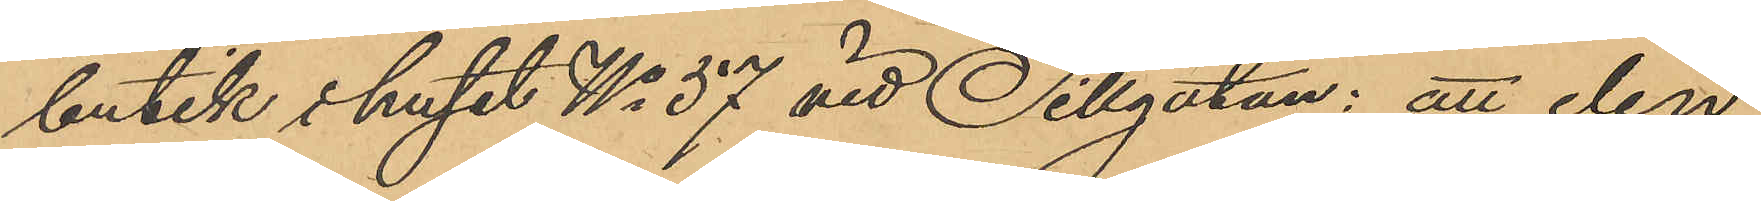butik i huset No 57 vid Sillgatan: att den
